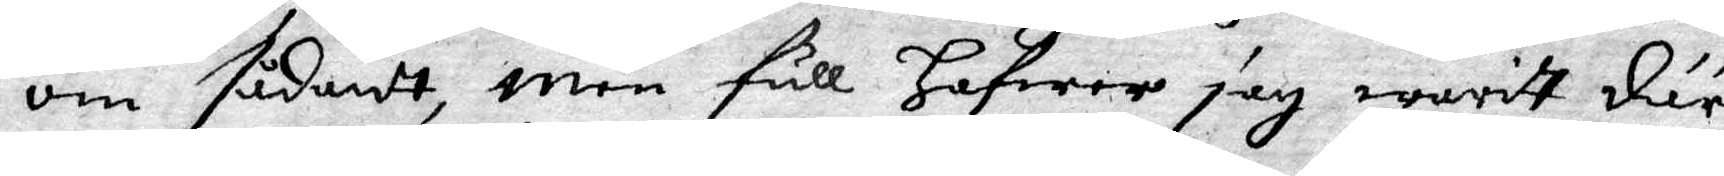om sådantt, men full Hafwer jag warit där
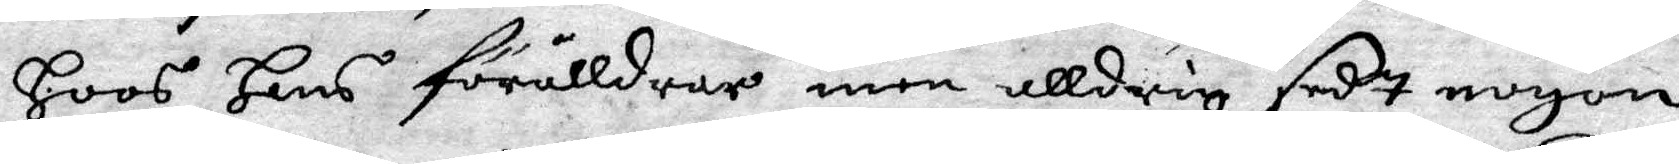Hoos Hans föräldrar men alldrig sedt nogon
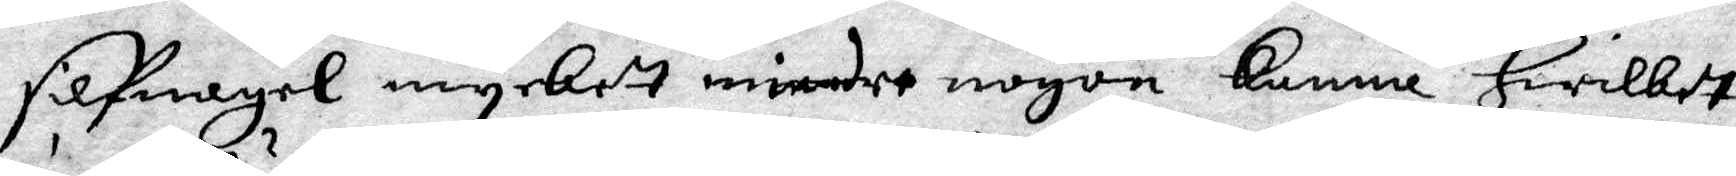silfmegel myckett mindre nogon kanna, Hwilket
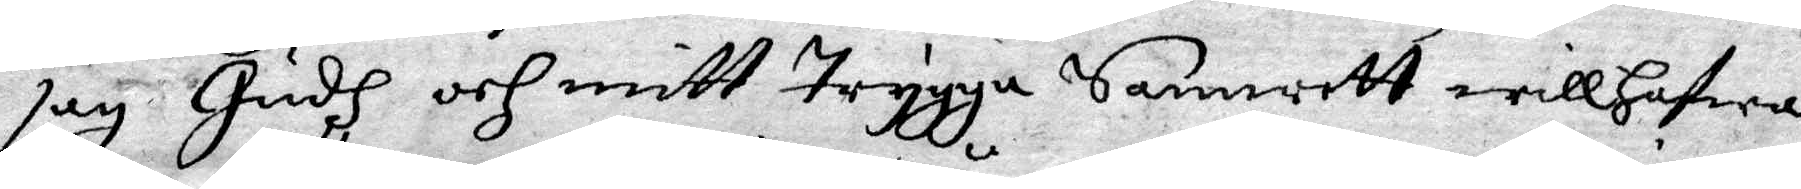jag Gudh och mitt Trygga Samvett will Hafwa
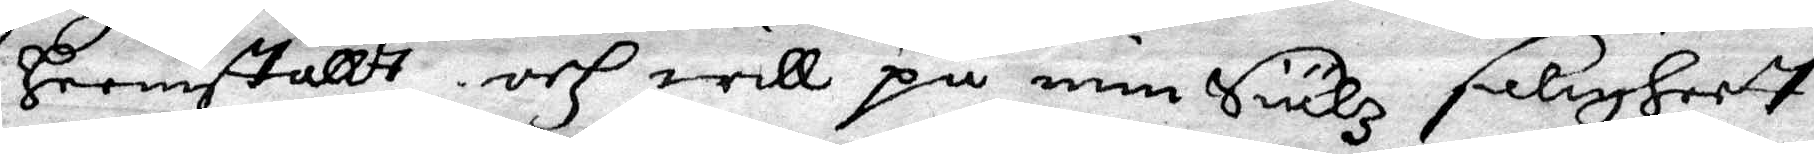Framställtt och will på min siählz saligheett
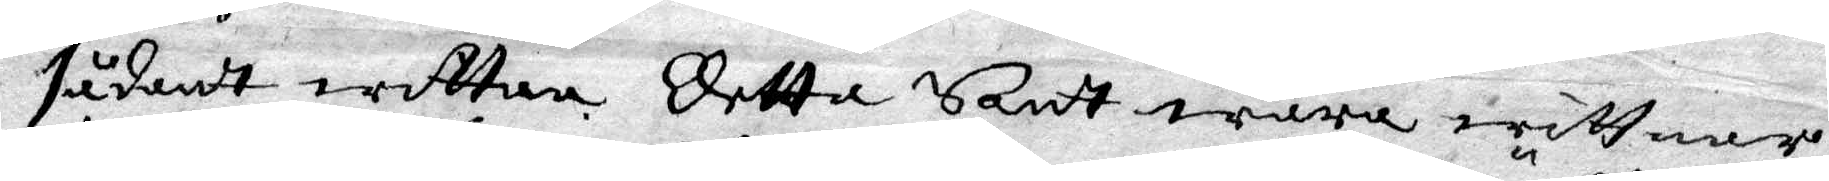sådant wittna Detta Sant wara wittnar
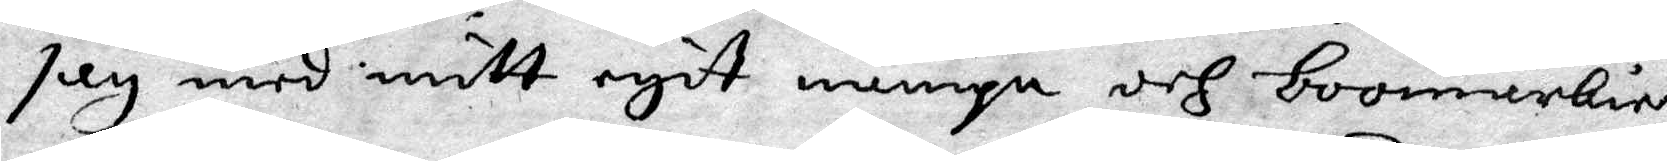jag med mitt egit nampn och bomärkie.
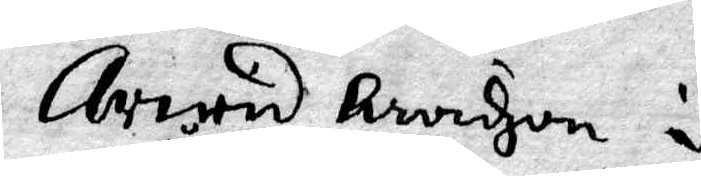Arvid Arvidzon i
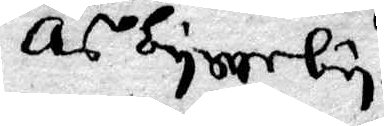Åsbyrerby
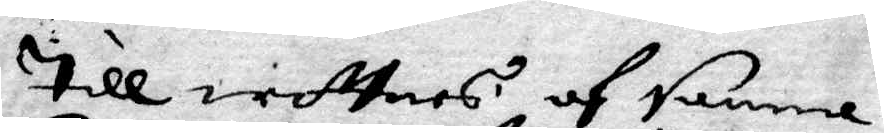Till wittnes af samme
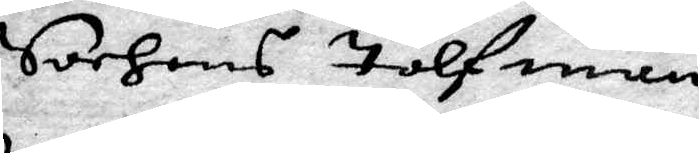Sochens Tolfmän
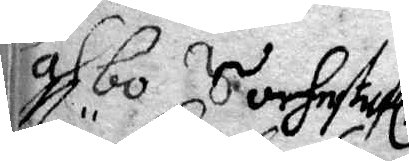Wahbo Sochnstufl.
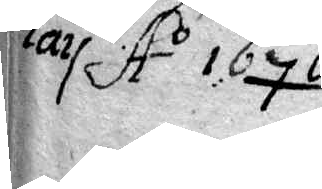May Ao 1676
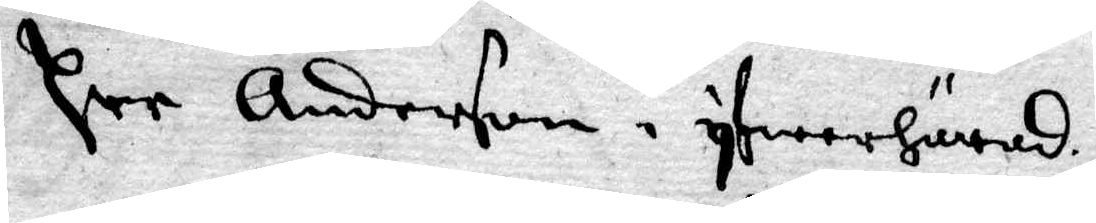Per Anderson i Yfwerhärad
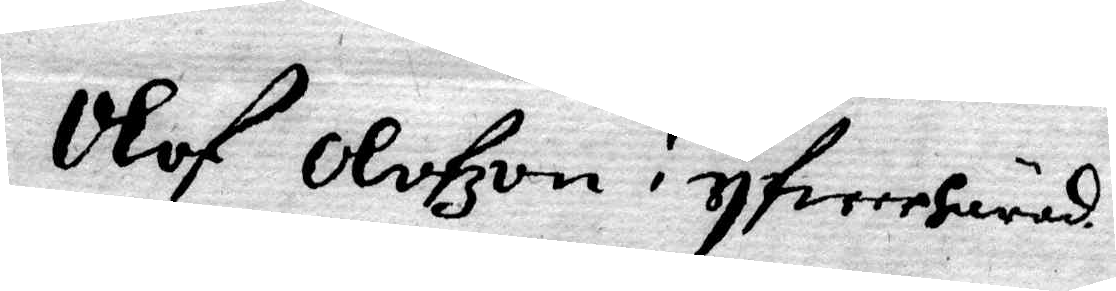Olof Olofzon i Yfwerhärad
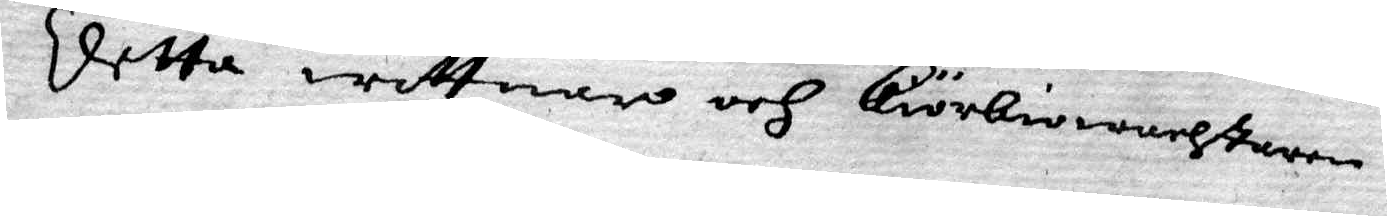Detta wittnar och kiörkiowachtaren
